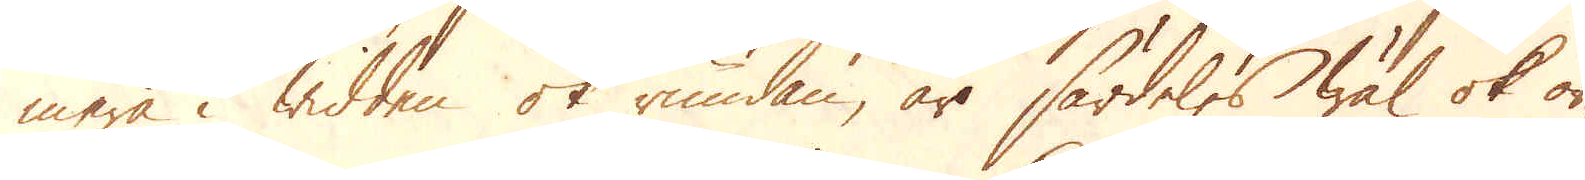mera i widden ok rundan, är särdeles wäl ok or-
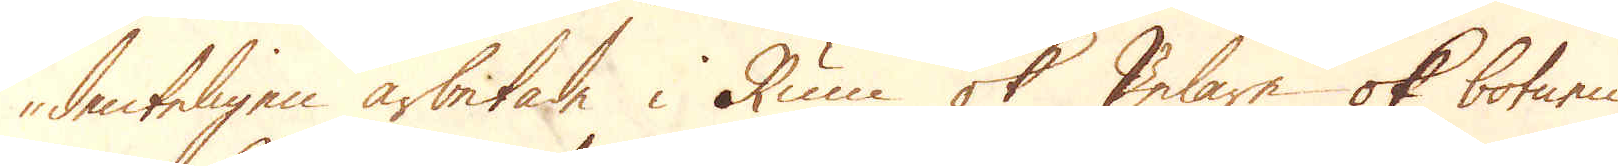denteligen arbetade i Rum ok Pelare ok botnen
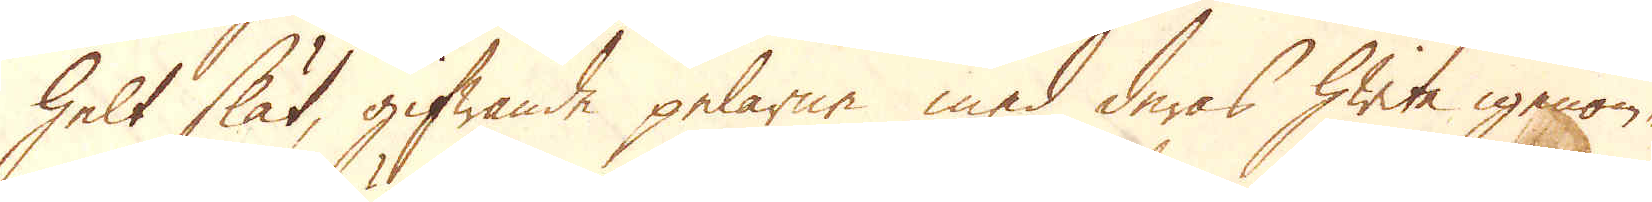helt slät, gifwande pelarne med deras hwite igenom-
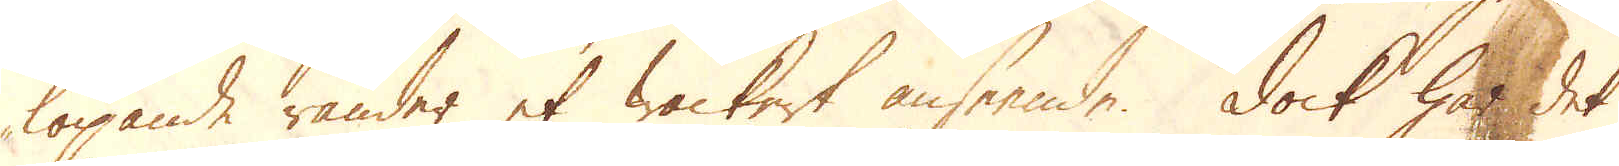löpande ränder et wackert anseende. Dock har det
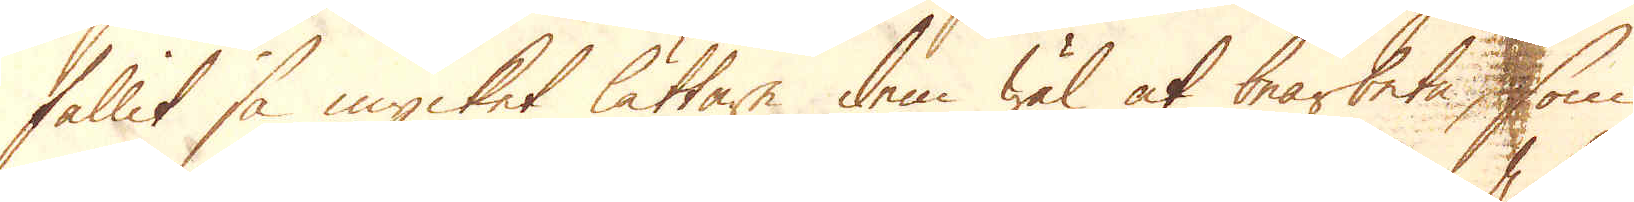fallit så mycket lättare dem wäl at bearbeta, som
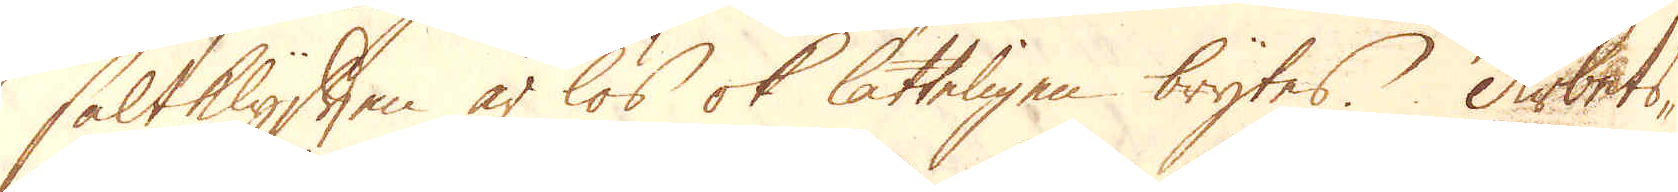saltklyften är lös ok lätteligen brytes. Arbets-
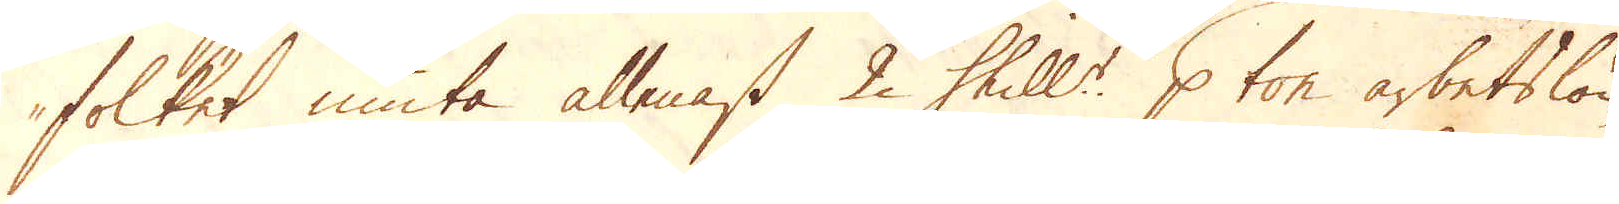folket niuta allenast 2 Shill:r p ton arbetslön,
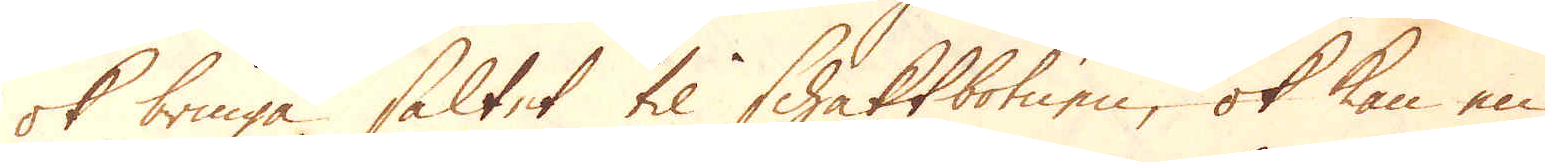ok bringa saltet til Schaktbotnen, ok kan en
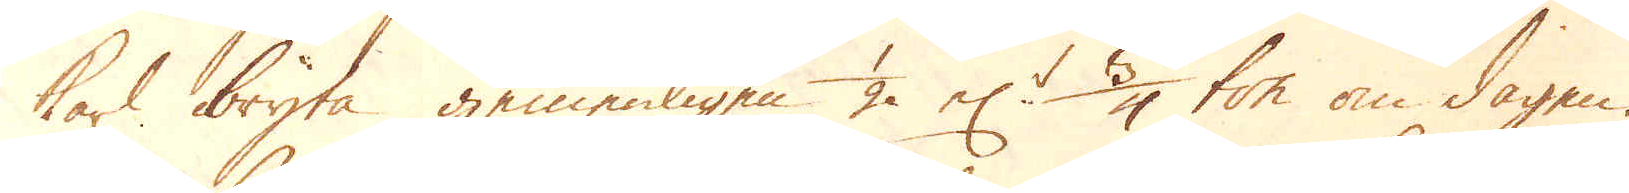karl bryta gemenligen 1/2 el:r 3/4 ton om dagen.
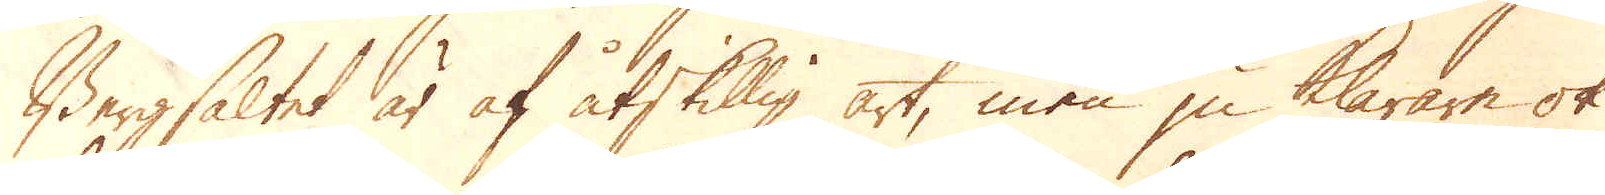Bergsaltet är af åtskillig art, men ju klarare ok
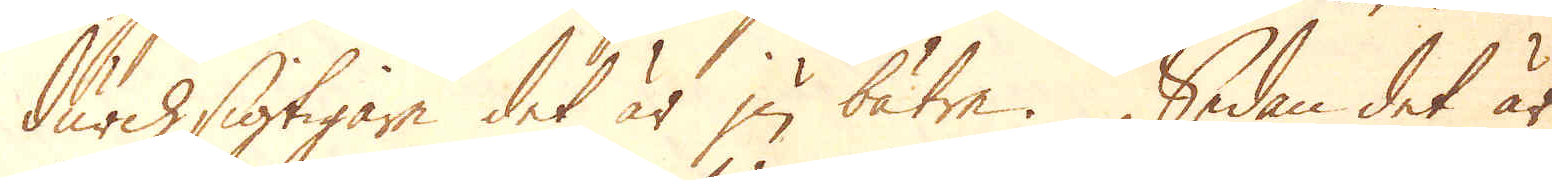durchsigtigare det är ju bätre. Sedan det är
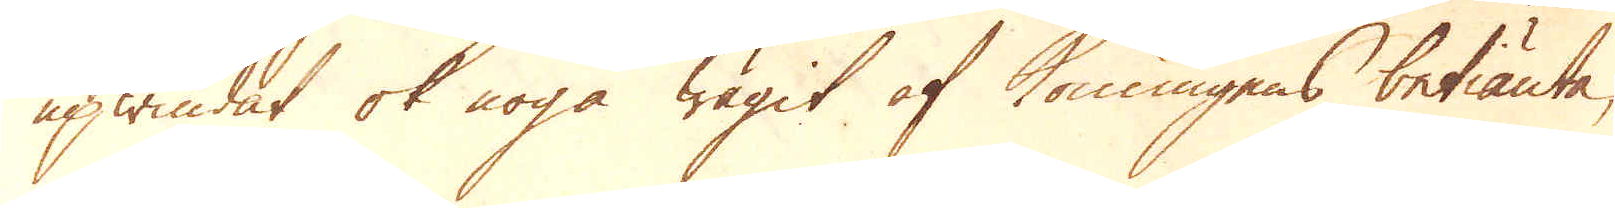upwindat ok noga wägit af Konungens betiänte,
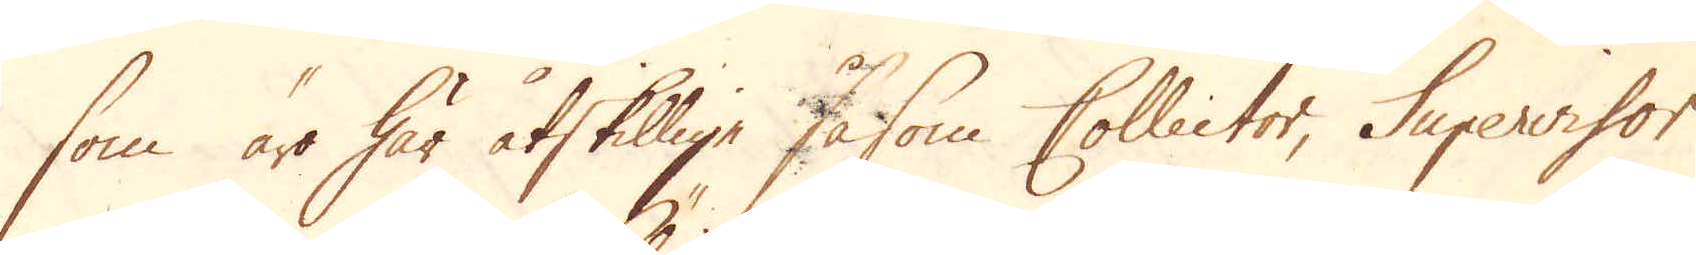som äro här åtskillige såsom Collector, Supervisor
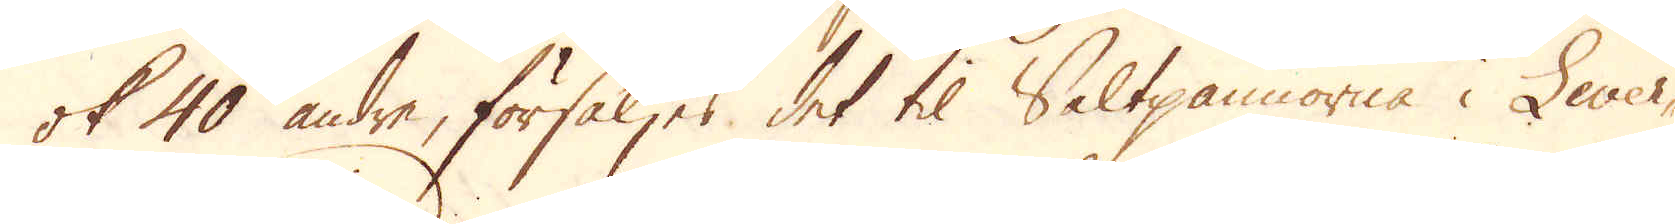ok 40 andre, försäljes det til Saltpannorna i Lever-
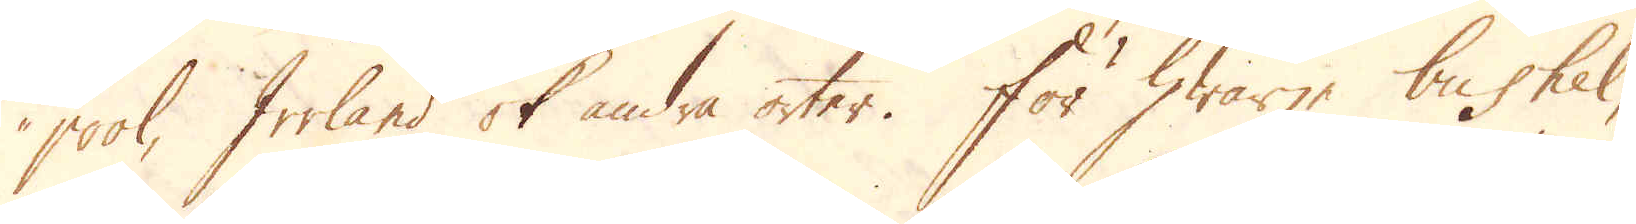pool, Irrland ok andra orter. För hwarje bushel,
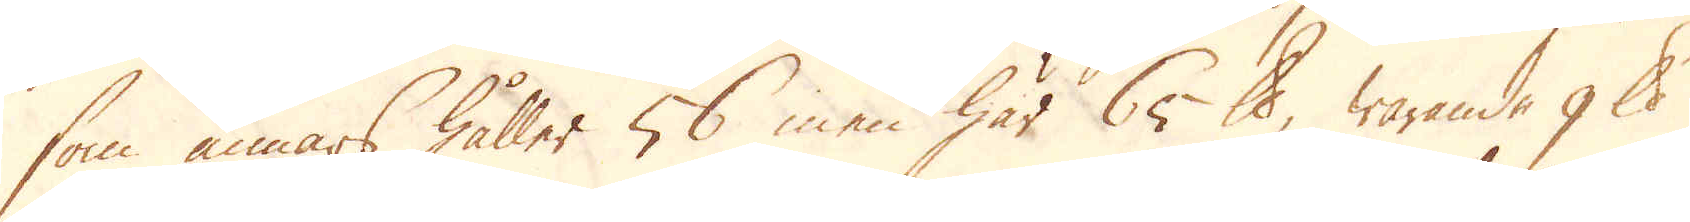som annars håller 56 men här 65 skålpund, warande 9 skålpund
